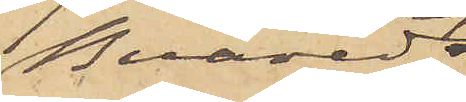Buared
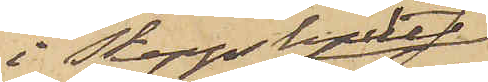i Skeppshults
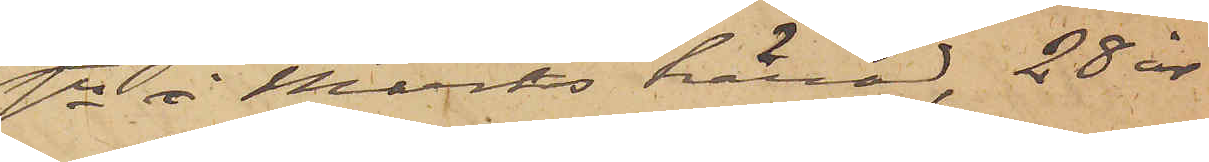sn i Marks härad, 28 år
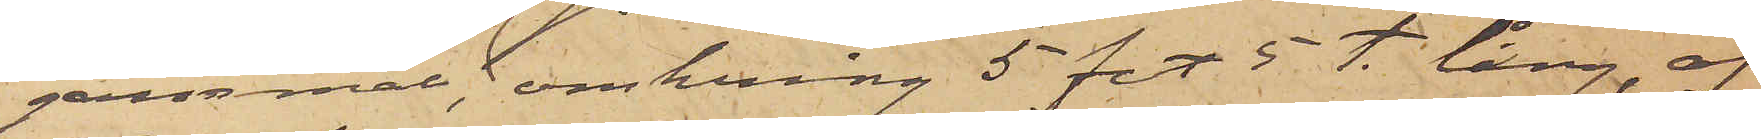gammal, omkring 5 fot 5 t. lång, af
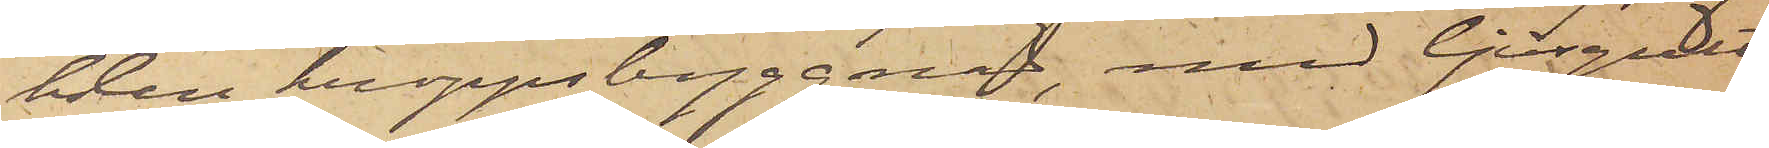klen kroppsbyggnad, med ljusgult
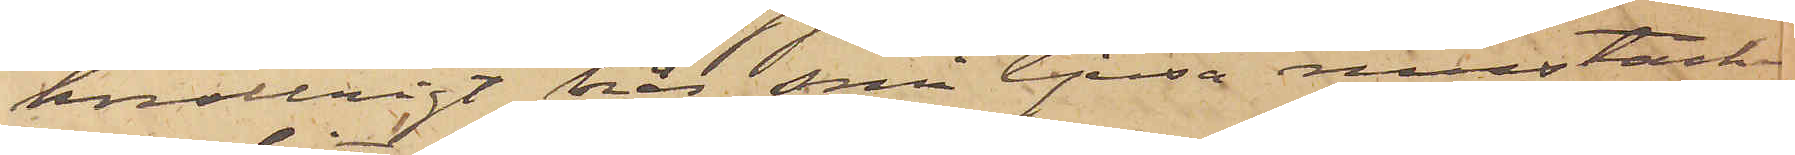knollrigt hår, små ljusa mustacher
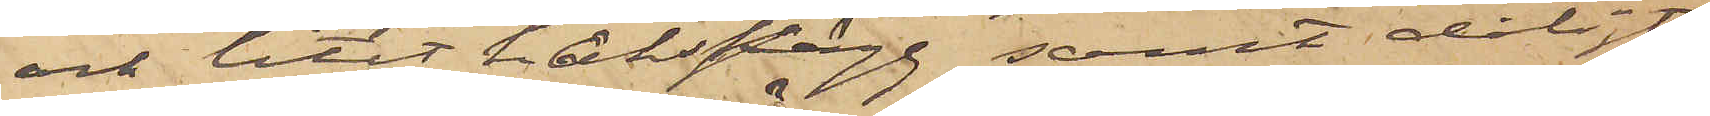och litet hakskägg samt dåligt
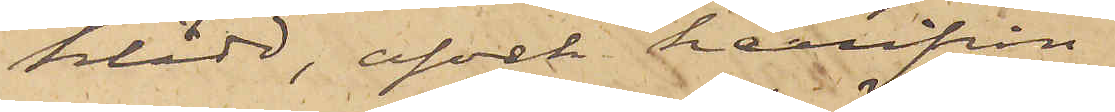klädd, afvek härifrån
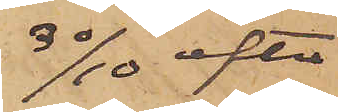30/10 efter
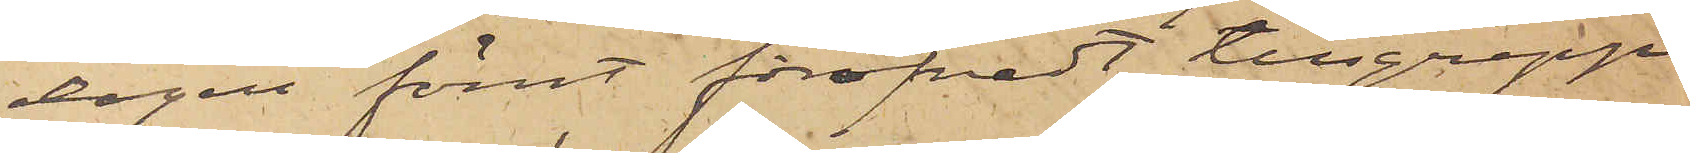dagen förut föröfvadt tillgrepp
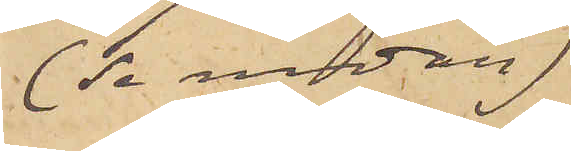(se nedan)
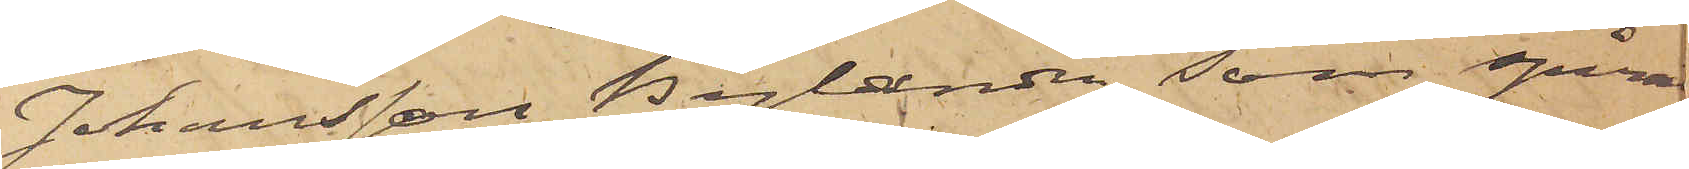Johansson Bylander, som spåra
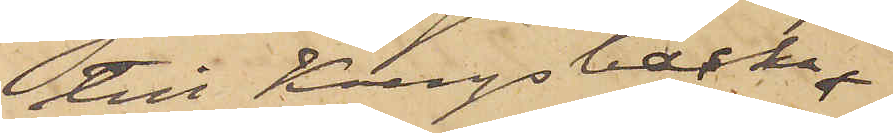till Kungsbacka,
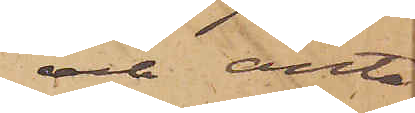och anta¬
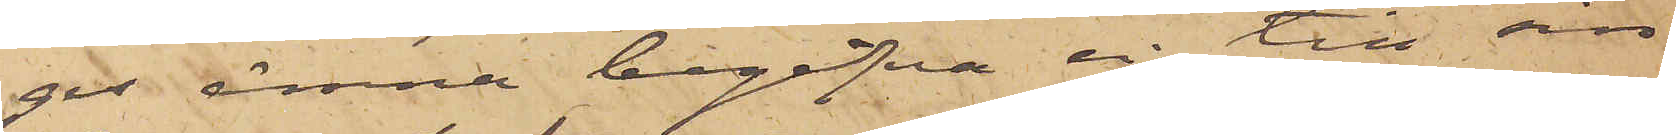ges ämna begifva sig till sin
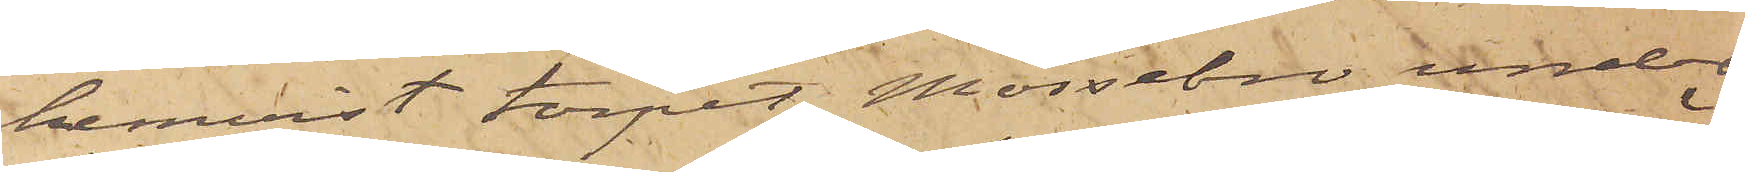hemvist torpet Mossebro under
